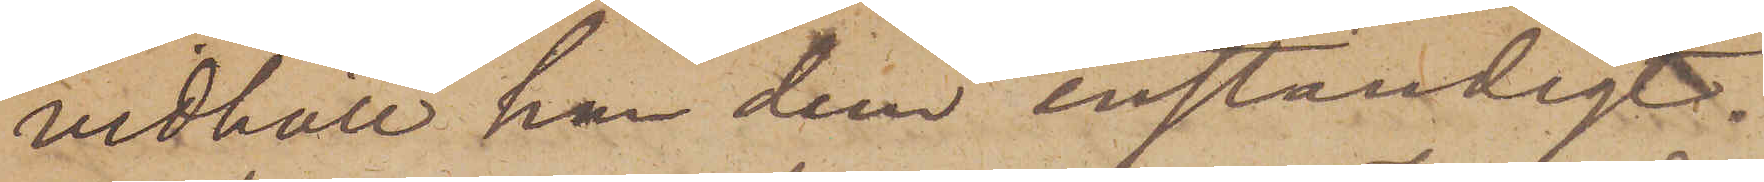vidhöll han dem enständigt.
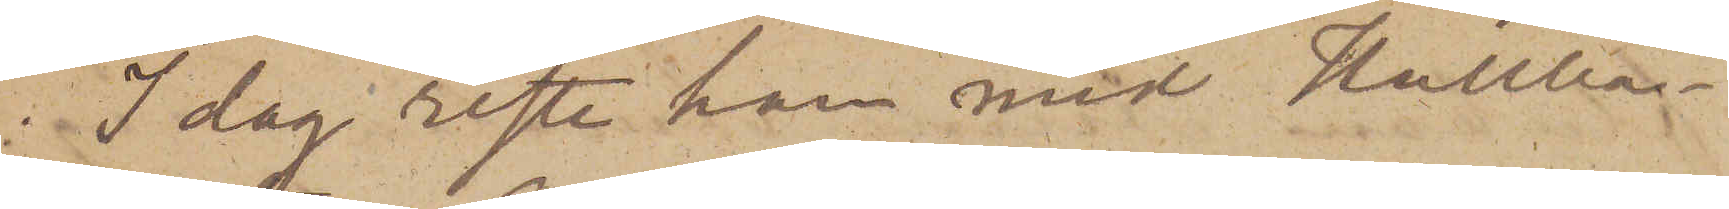I dag reste han med Hullbåt¬
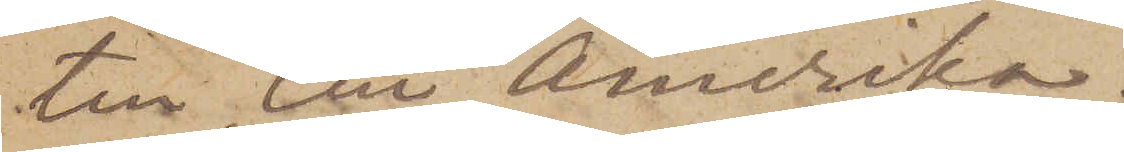ten till Amerika.
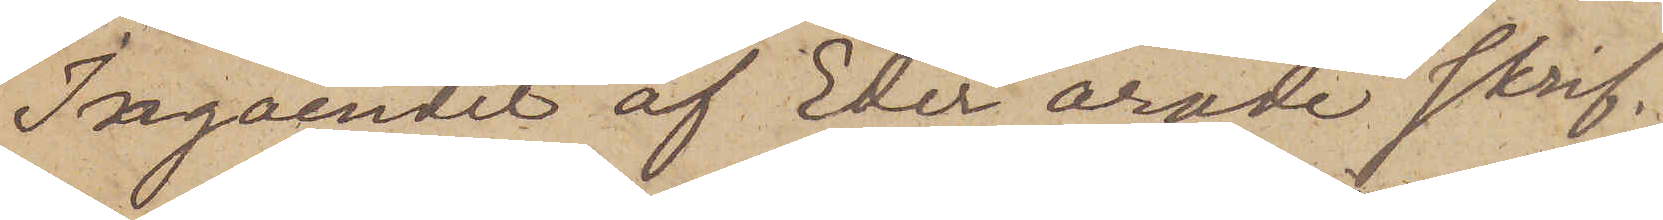Ingåendet af Eder ärade skrif¬
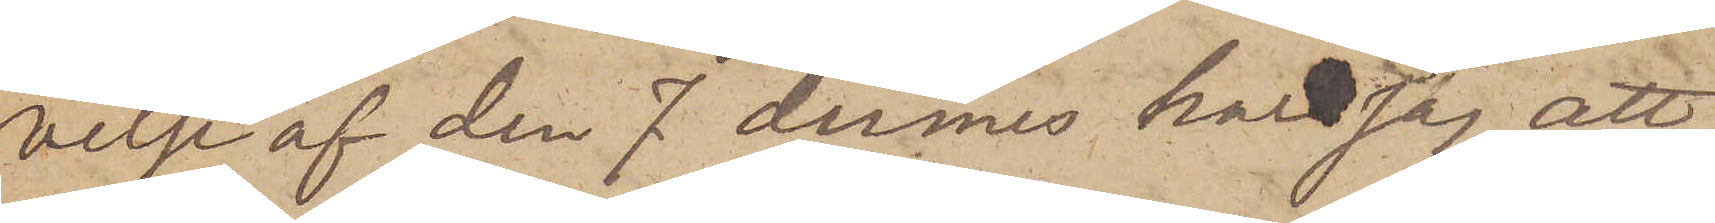velse af den 7 dennes har jag att
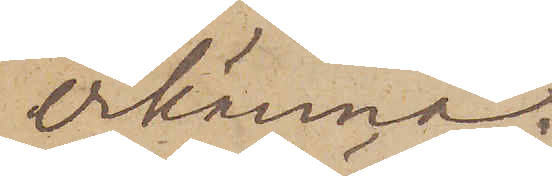erkänna.
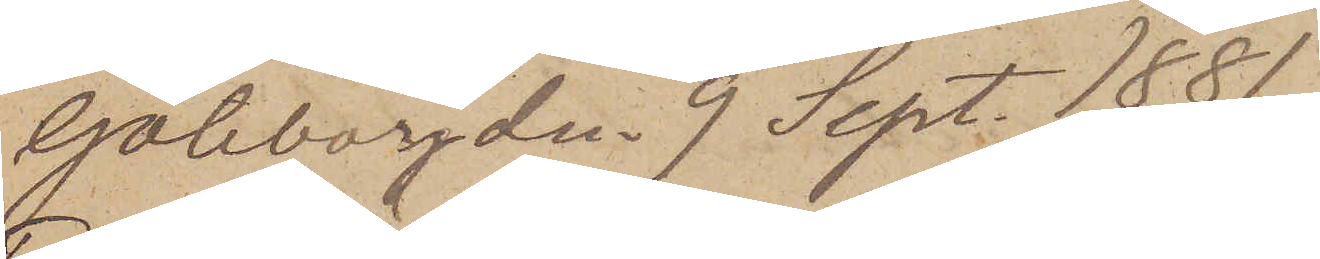Göteborg den 9 Sept. 1881.
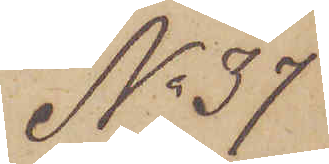No 37
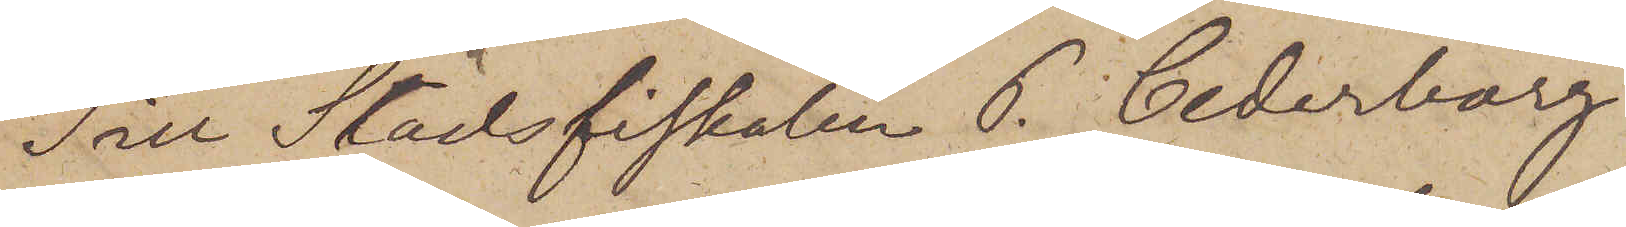Till Stadsfiskalen P. Cederborg
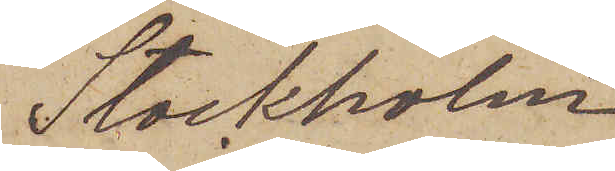Stockholm.
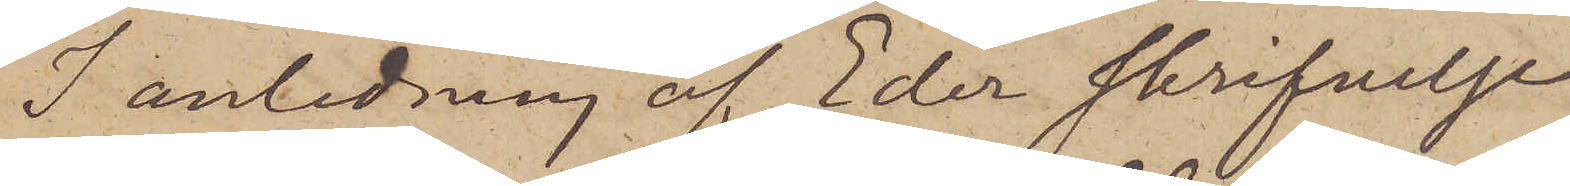I anledning af Eder skrifvelse
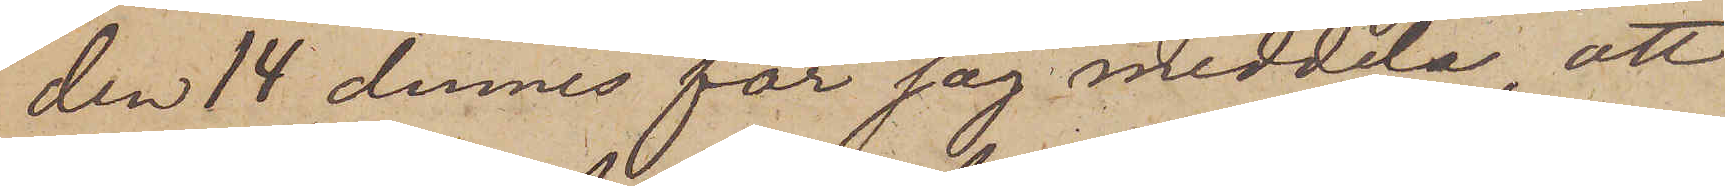den 14 dennes får jag meddela, att
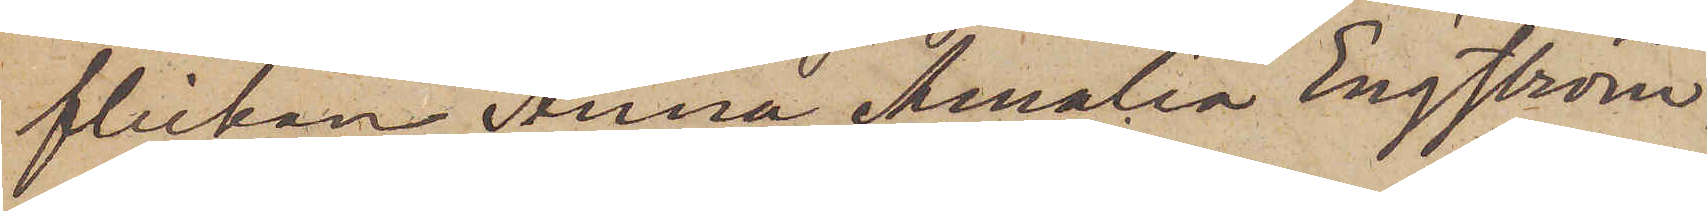flickan Anna Amalia Engström
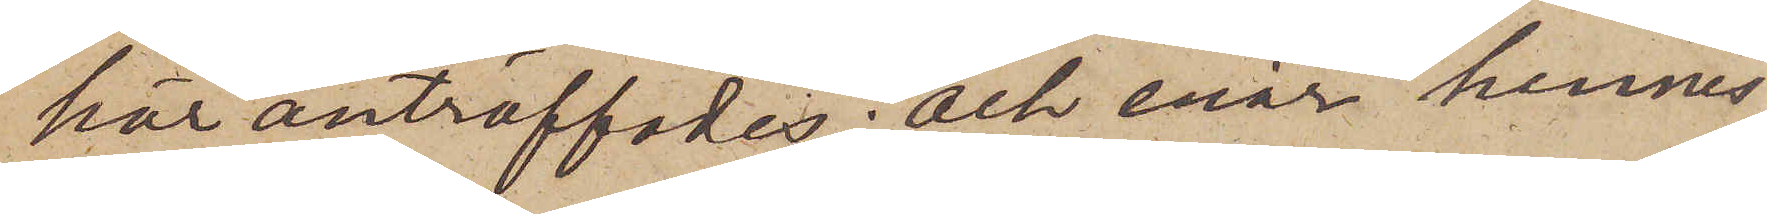här anträffades; och enär hennes
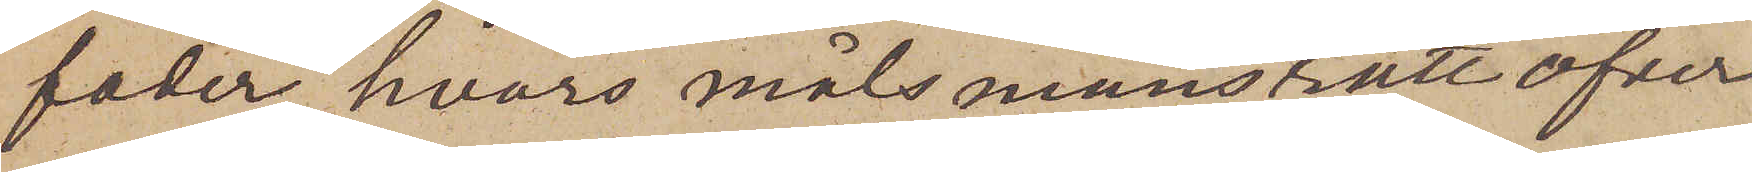fader, hvars målsmansrätt öfver
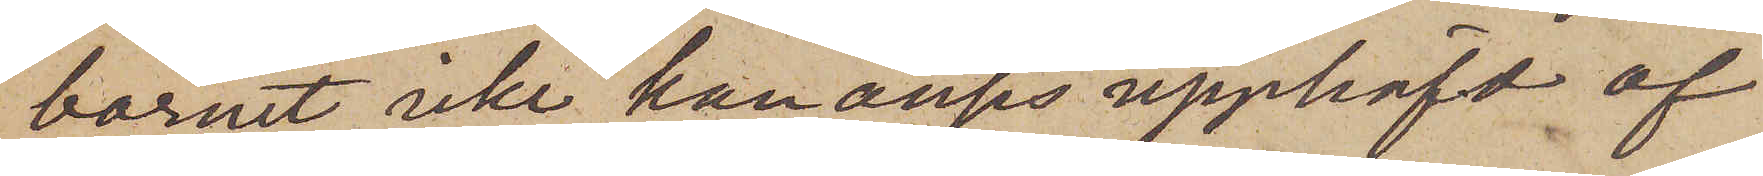barnet icke kan anses upphäfd af
